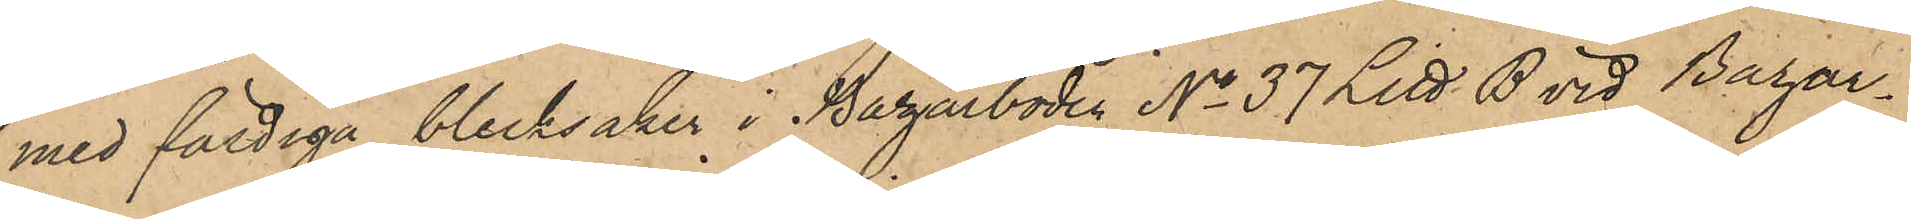med färdiga blecksaker i Bazarboden No 37 Litt B vid Bazar¬
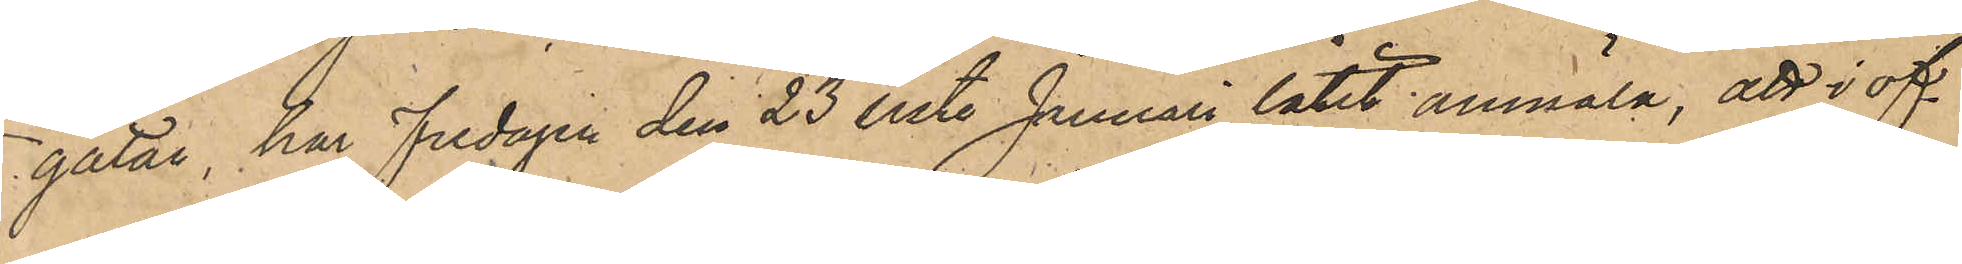gatan, har fredagen den 23 sistl Januari låtit anmäla, att i of¬
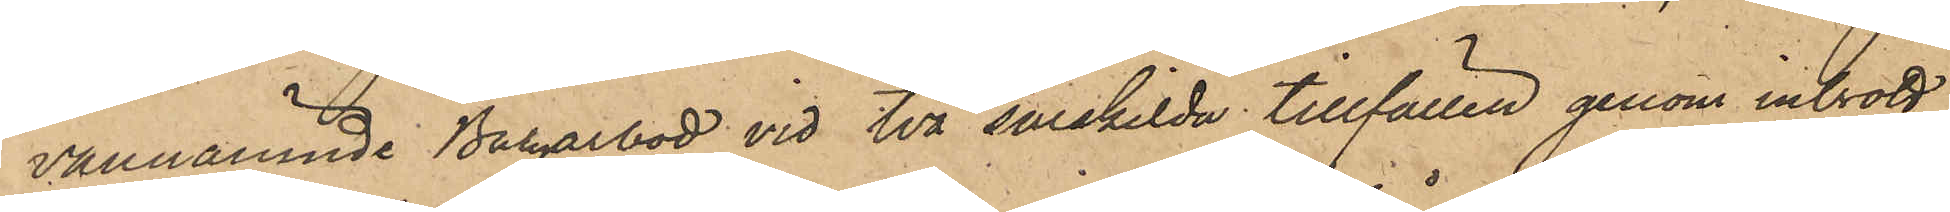vannämnde Bagarbod vid två särskilda tillfällen genom inbrott,
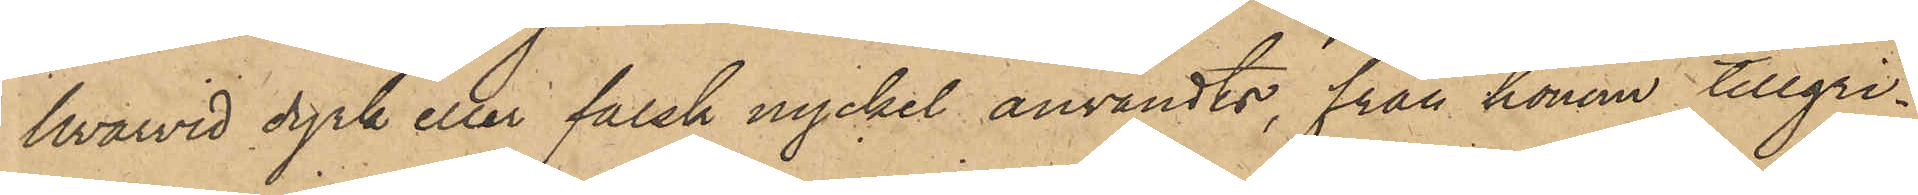hvarvid dyrk eller falsk nyckel användts, från honom tillgri¬
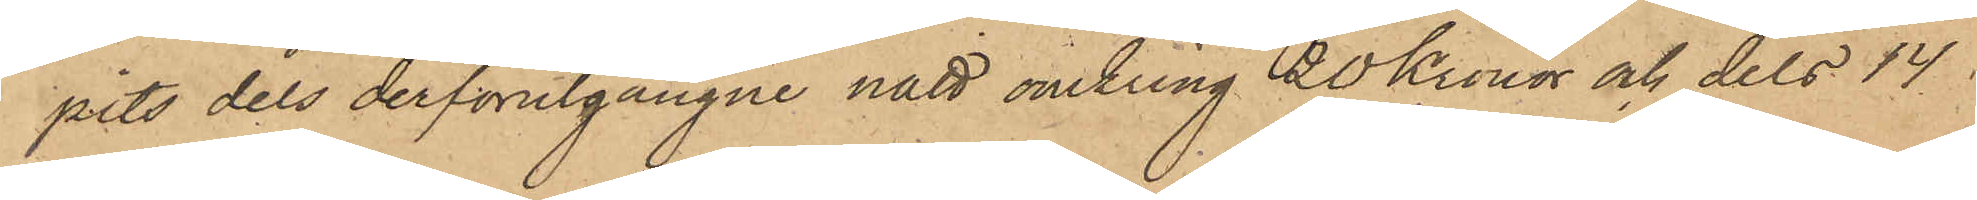pits dels derförutgångne natt omkring 20 Kronor och dels 14
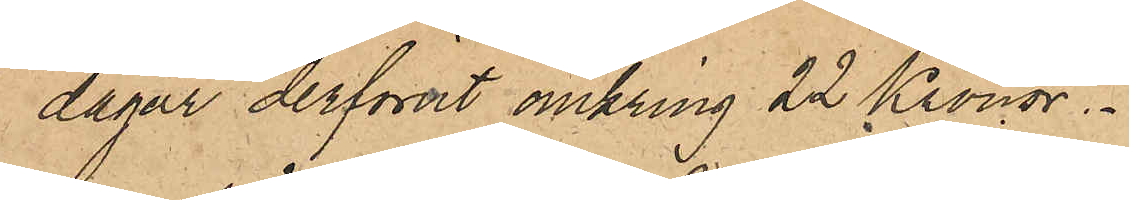dagar derförut omkring 22 Kronor.
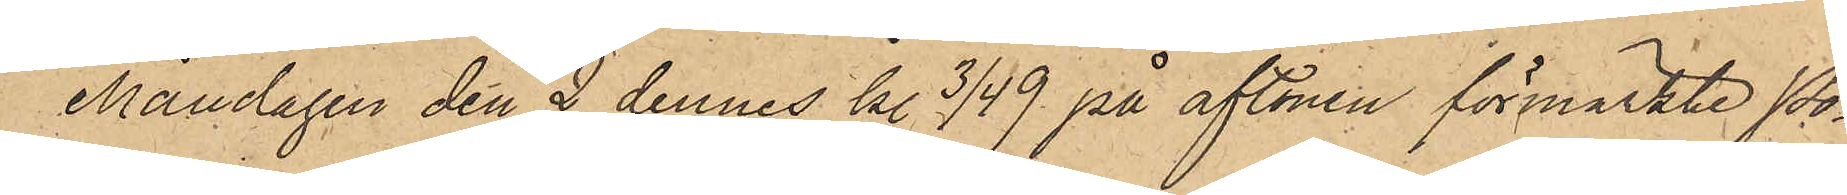Måndagen den 2 dennes kl 3/4 9 på aftonen förmärkte Po¬
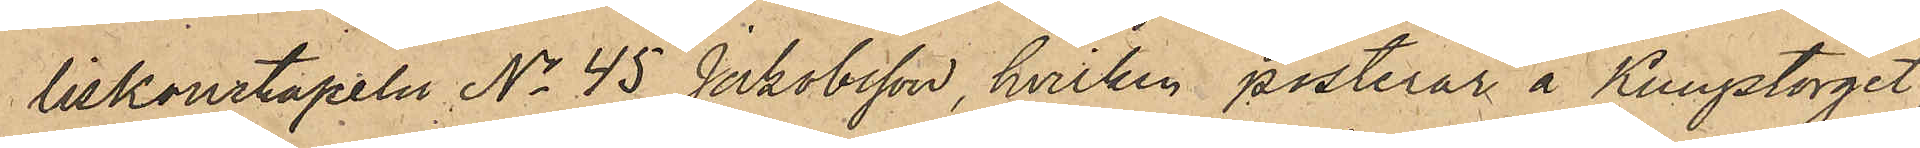liskonstapeln No 45 Jakobsson, hvilken posterar å Kungstorget,
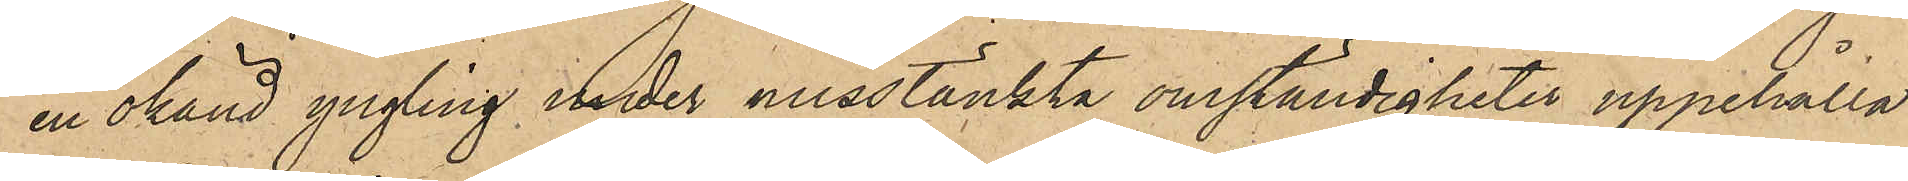en okänd yngling under misstänkta omständigheter uppehålla
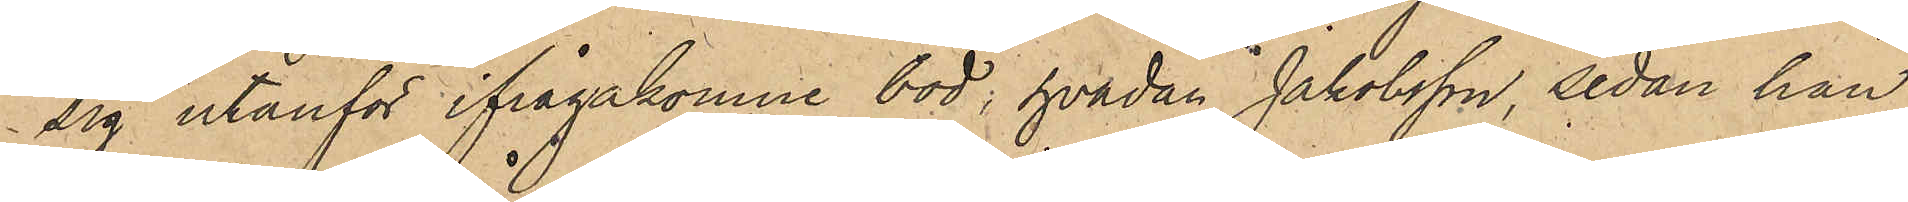sig utanför ifrågakomne bod, hvadan Jakobsson, sedan han
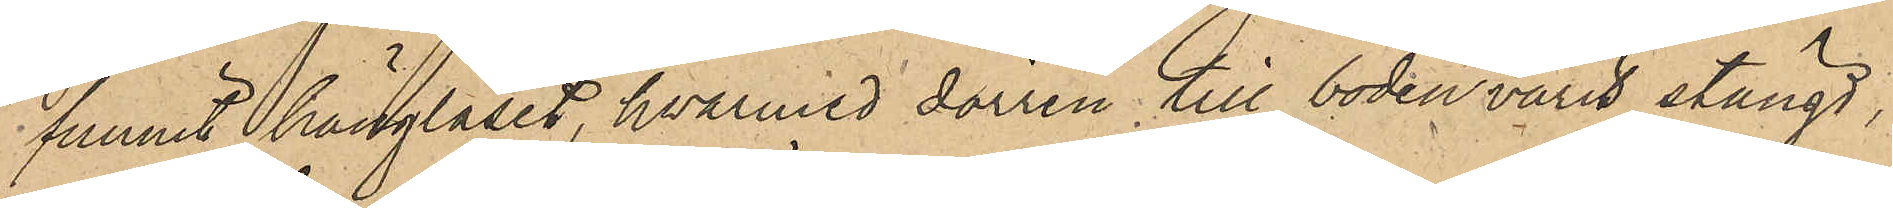funnit hänglåset, hwarmed dörren till boden varit stängd,
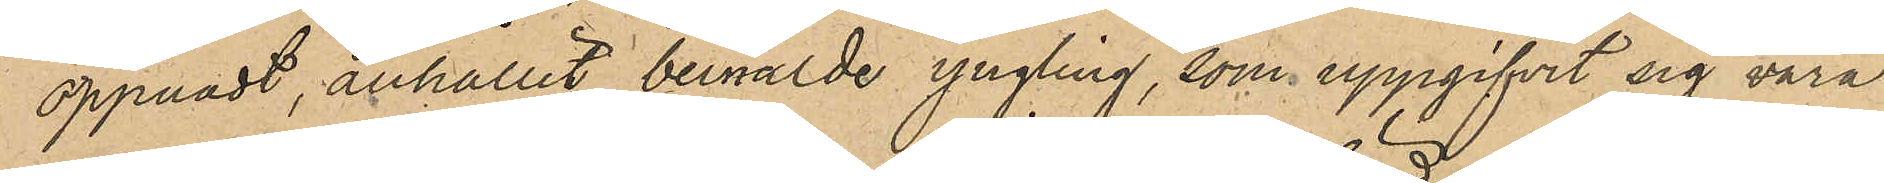öppnadt, anhållit bemälde yngling, som uppgifvit sig vara
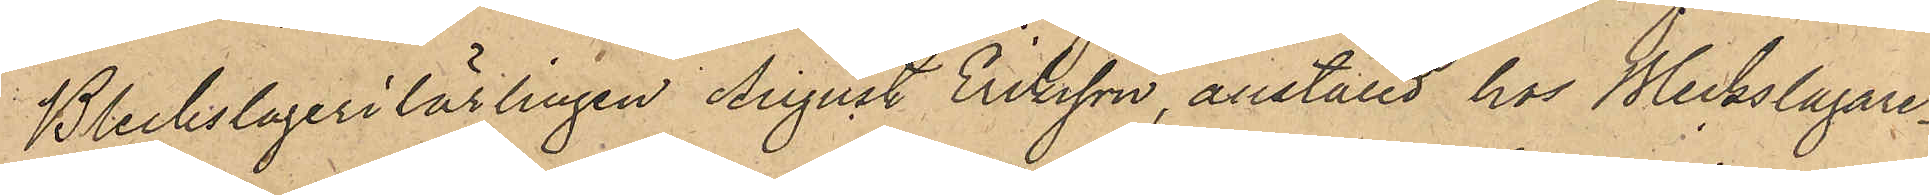Bleckslagerilärlingen August Eriksson, anställd hos Bleckslagare¬
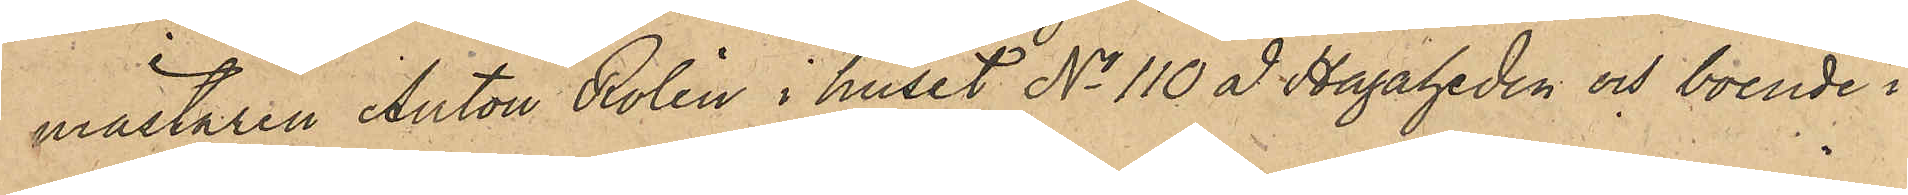mästaren Anton Rolin i huset No 110 å Hagaheden och boende i
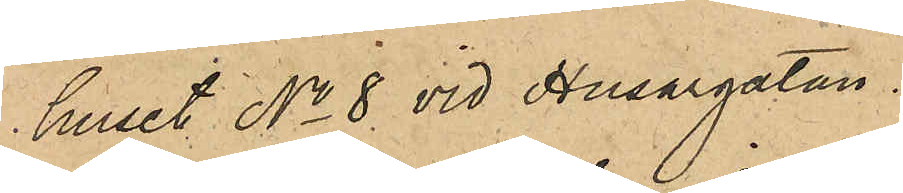huset No 8 vid Husargatan.
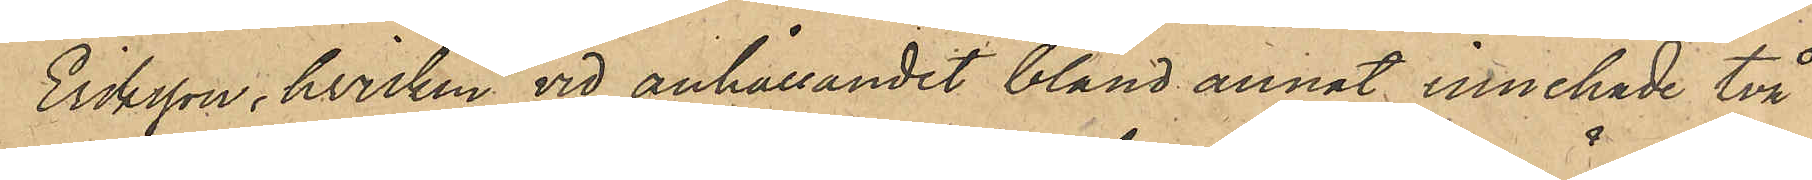Eriksson, hvilken vid anhållandet bland annat innehade två
